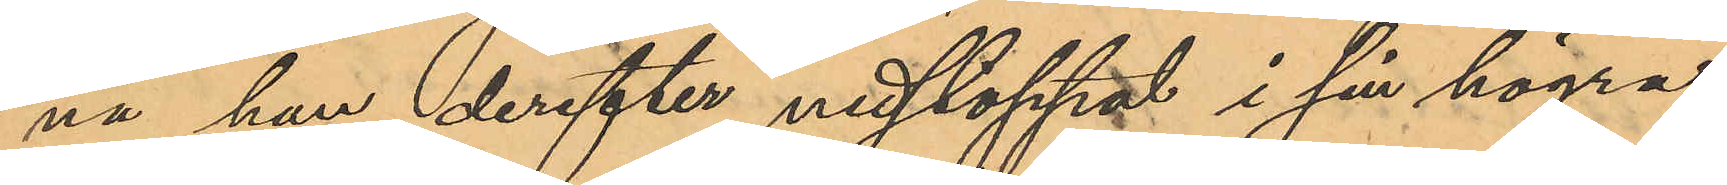nä han derefter nedstoppat i sin högra
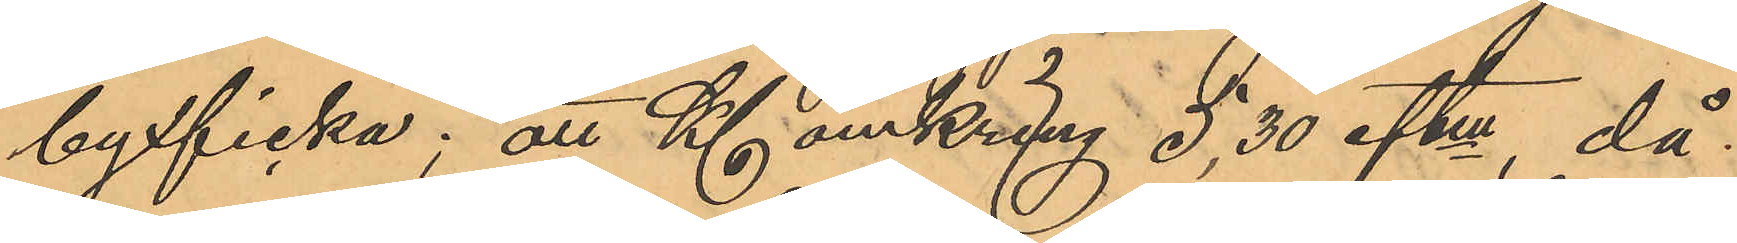byxficka; att Kl. omkring 5,30 eftm, då
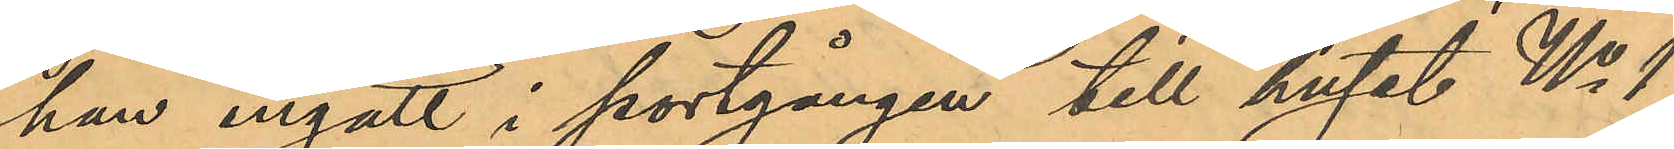han ingått i portgången till huset No 1
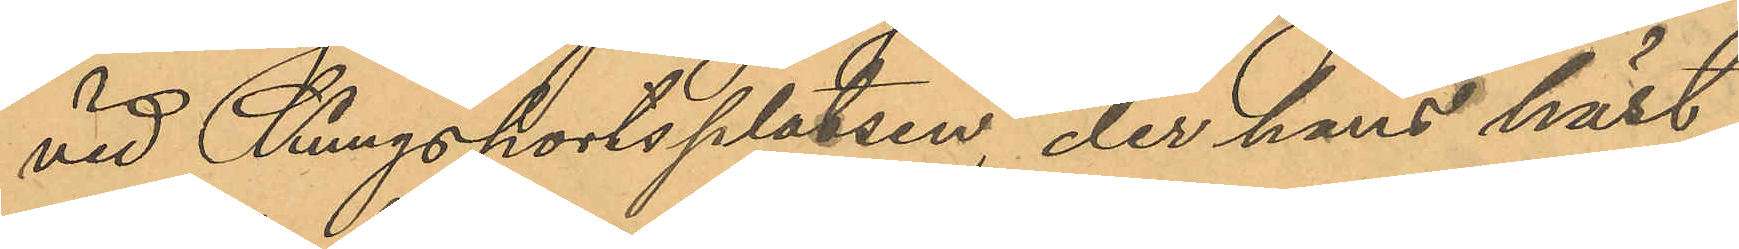vid Kungsportsplatsen, der hans häst
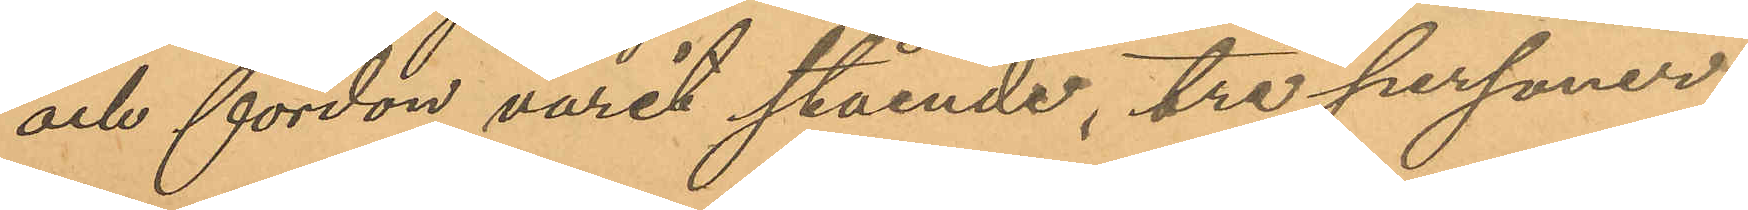och fordon varit stående, tre personer,
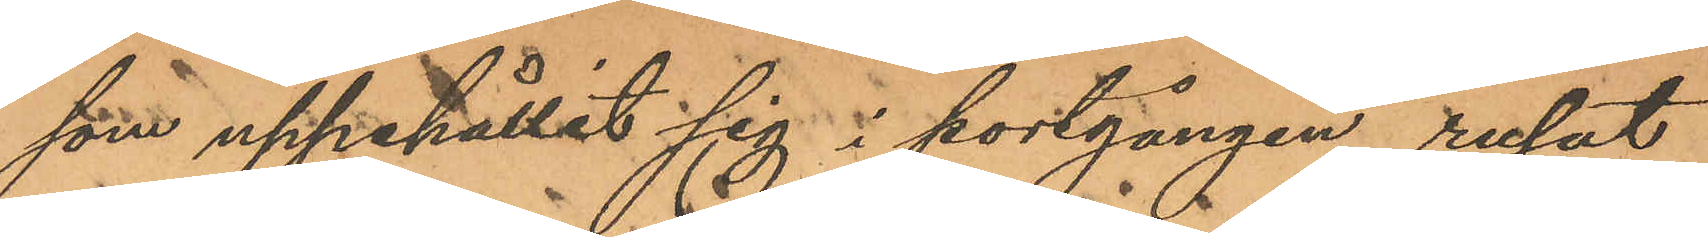som uppehållit sig i portgången, rusat
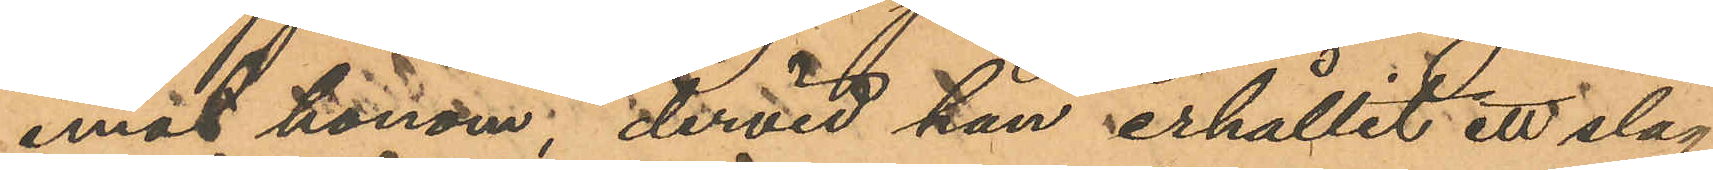emot honom; dervid han erhållit ett slag
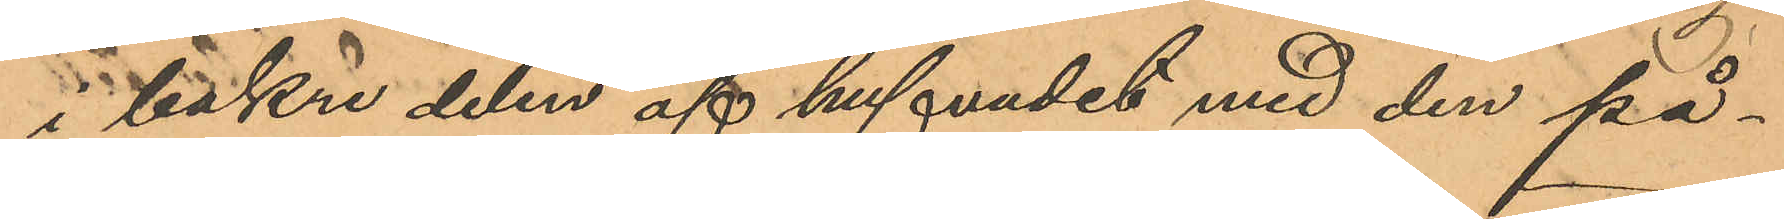i bakre delen af hufvudet med den på¬
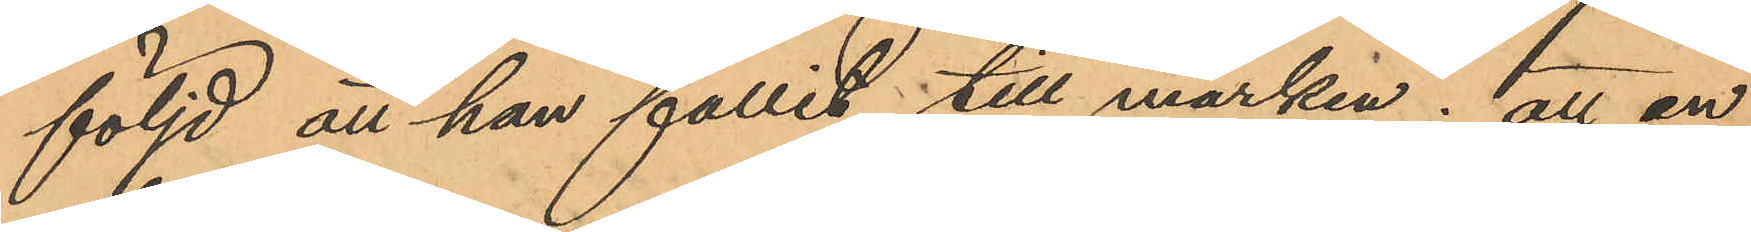följd att han fallit till marken; att en
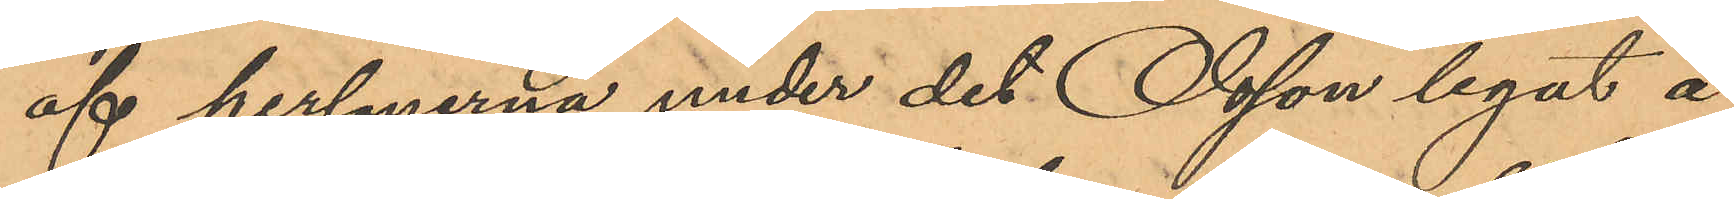af personerna under det Olsson legat å
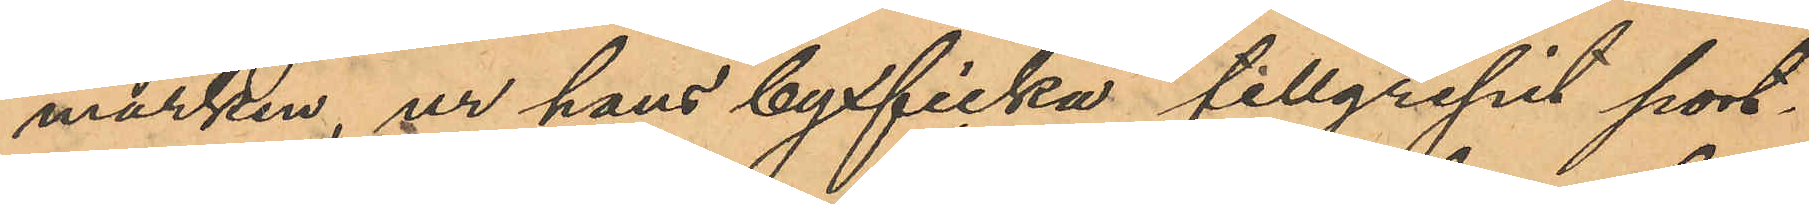marken, ur hans byxficka tillgripit port¬
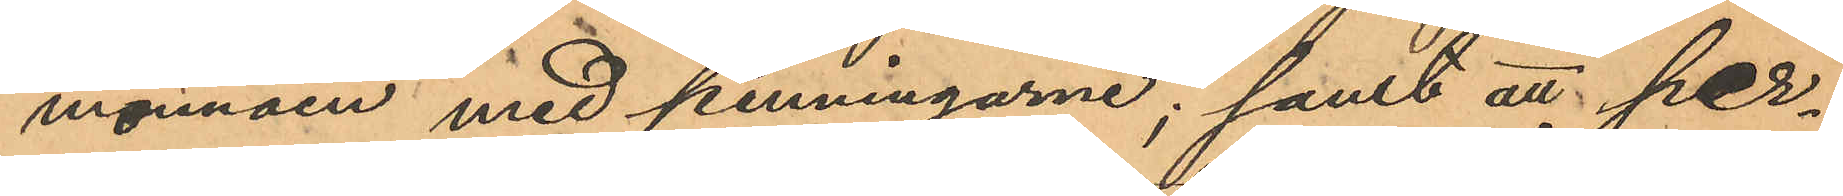monnäen med penningarne; samt att per¬
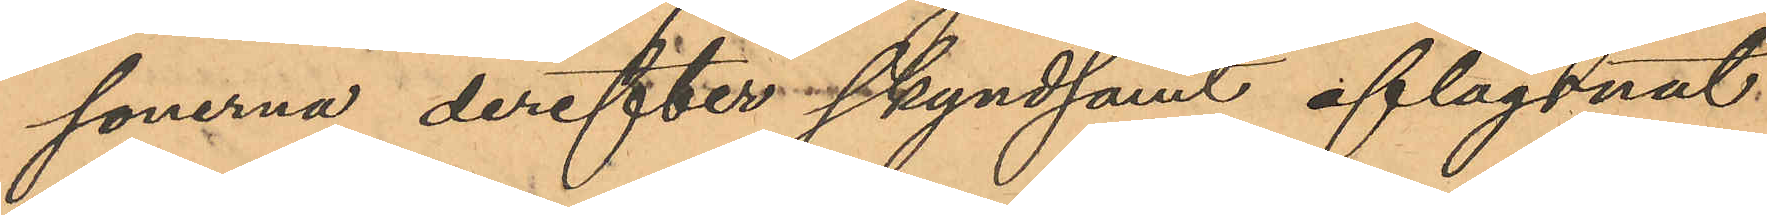sonerna derefter skyndsamt aflägsnat
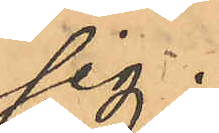sig.
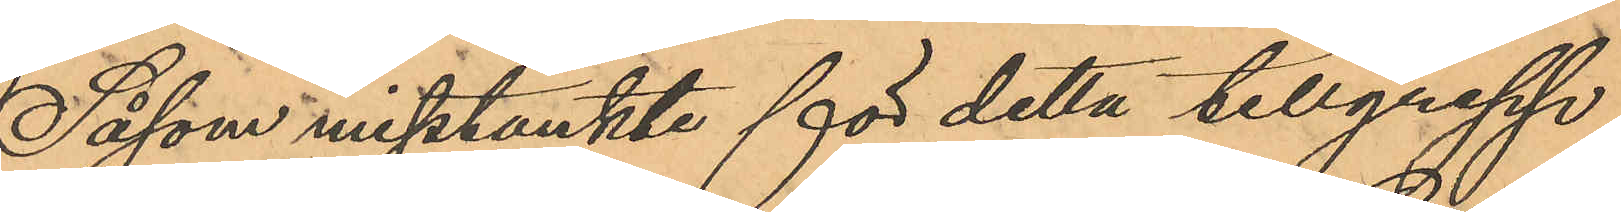Såsom misstänkte för detta tillgrepp
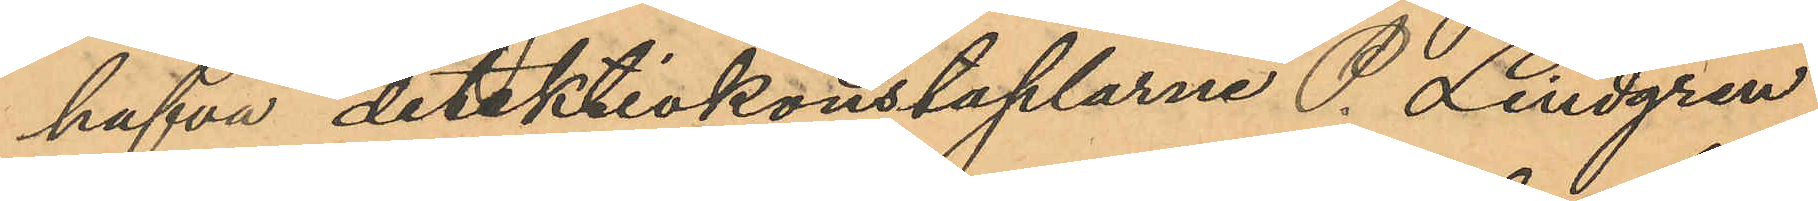hafva detektivkonstaplarne P. Lindgren
